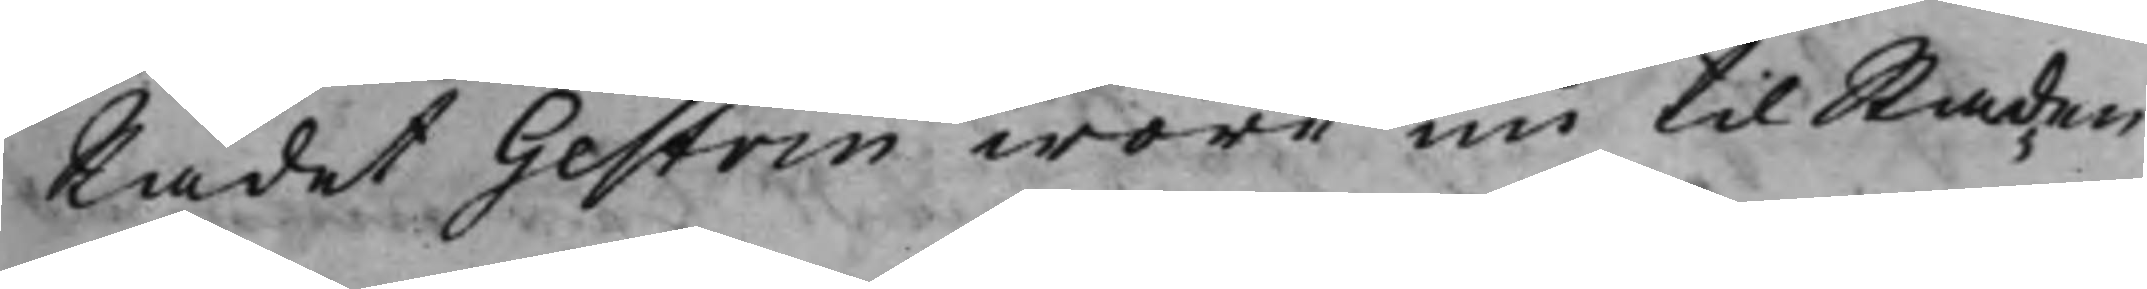Rådet Gestrin wore nu til Staden
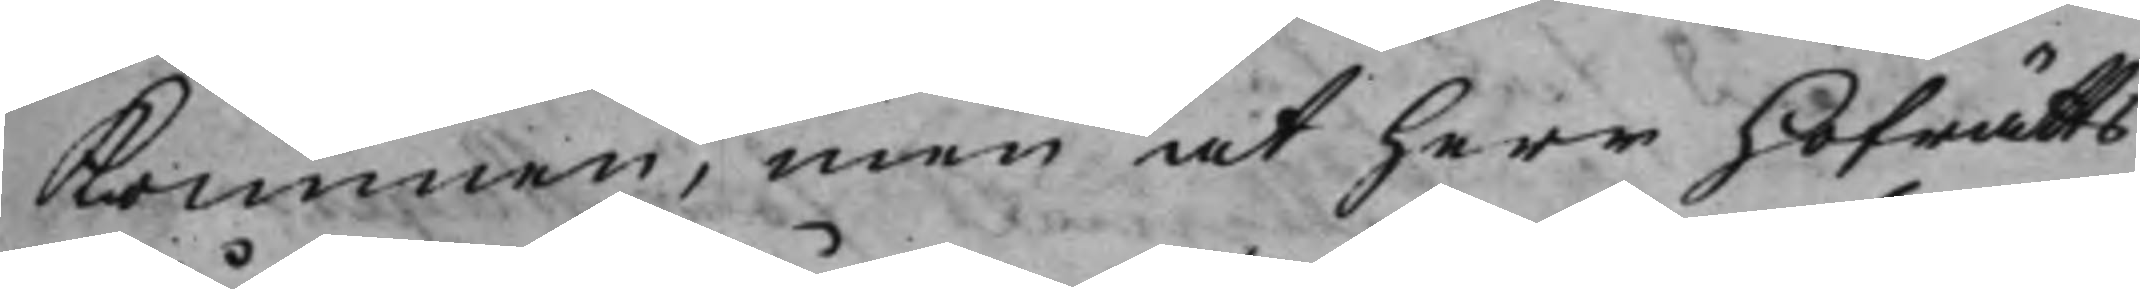Kommen, men at Herr Hofrätts¬
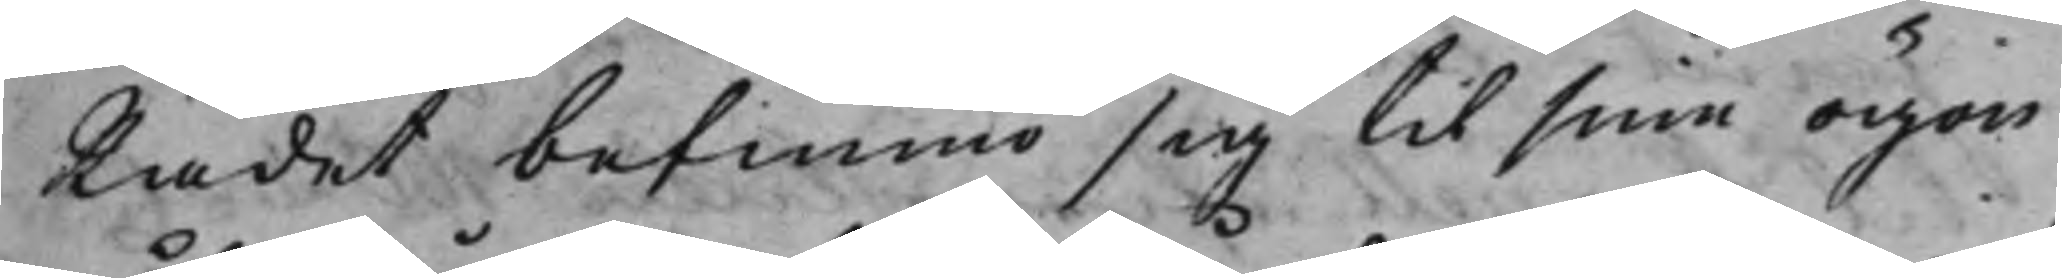Rådet befunno sig til sine ögon
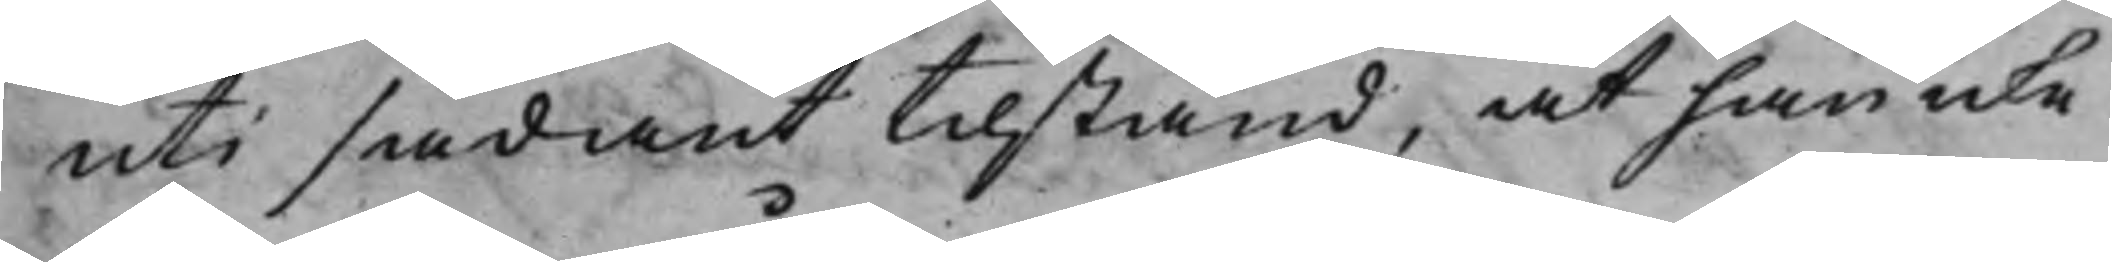uti sådant tilstånd, at han icke
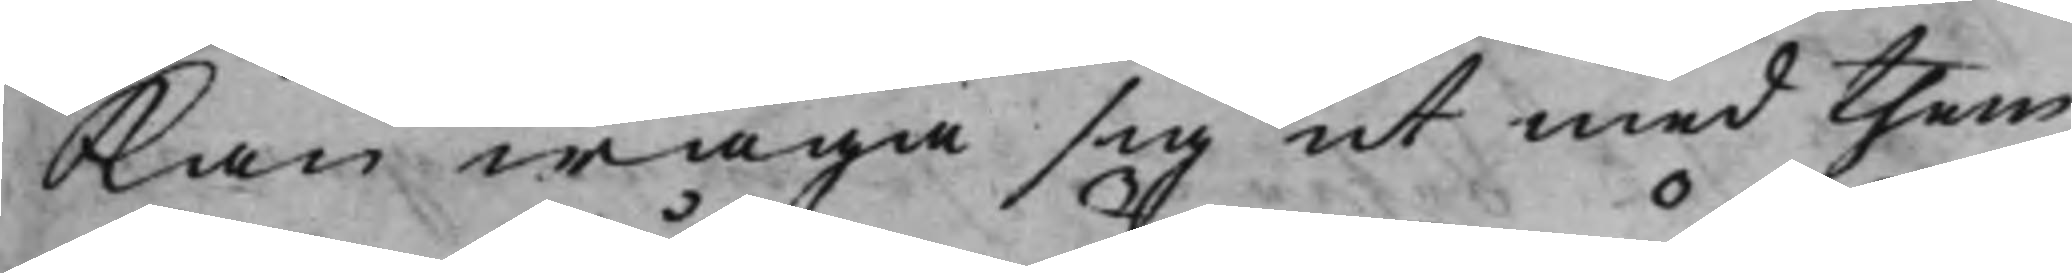Kan wåga sig ut med them
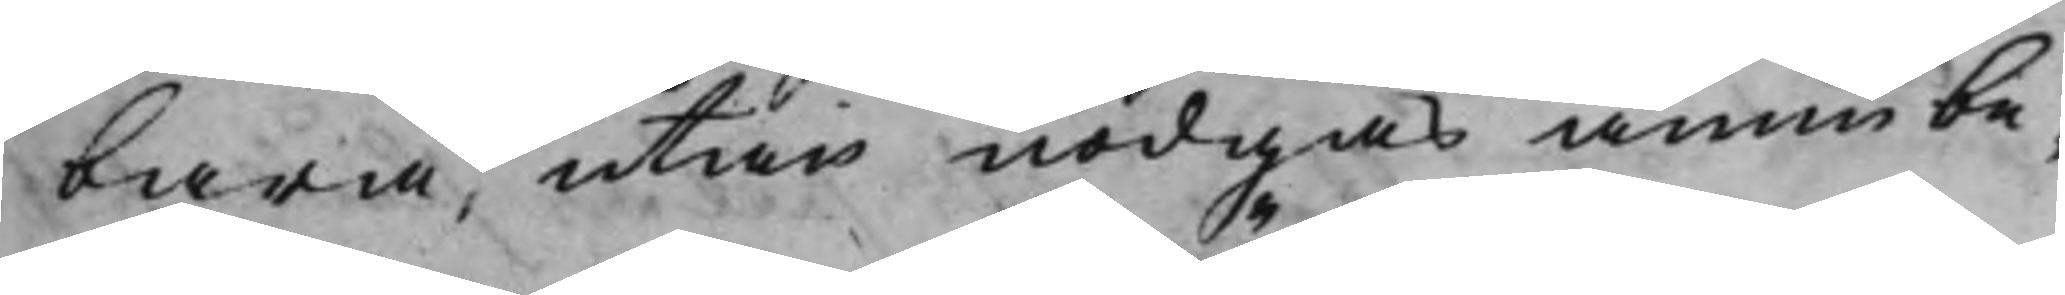bara, utan nödgas ännu be¬
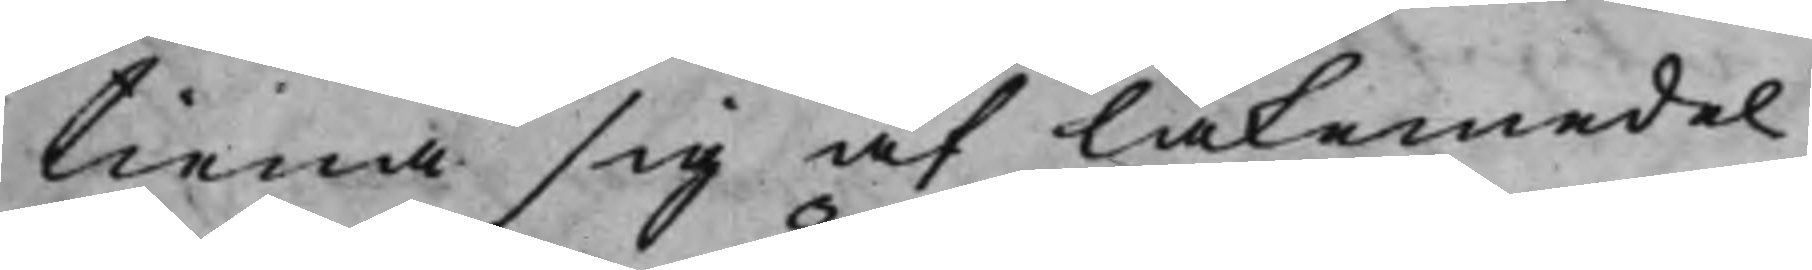tiena sig af läkemedel.
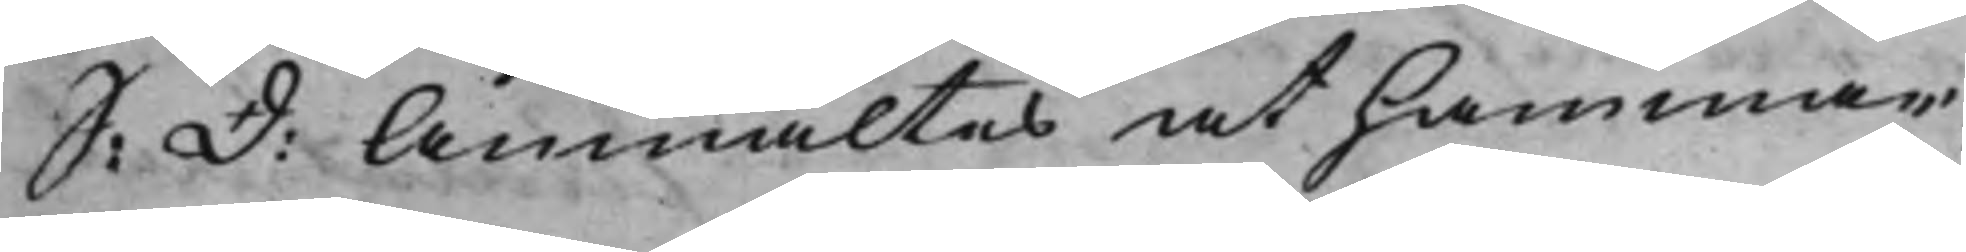S: D: Anmältes at Hammar¬
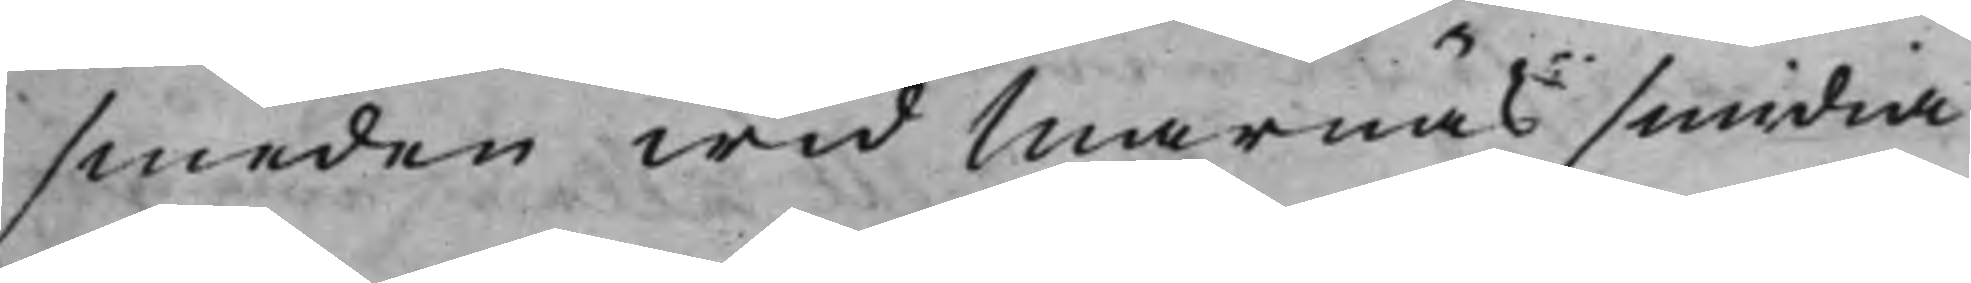smeden wid Marnäs smidia
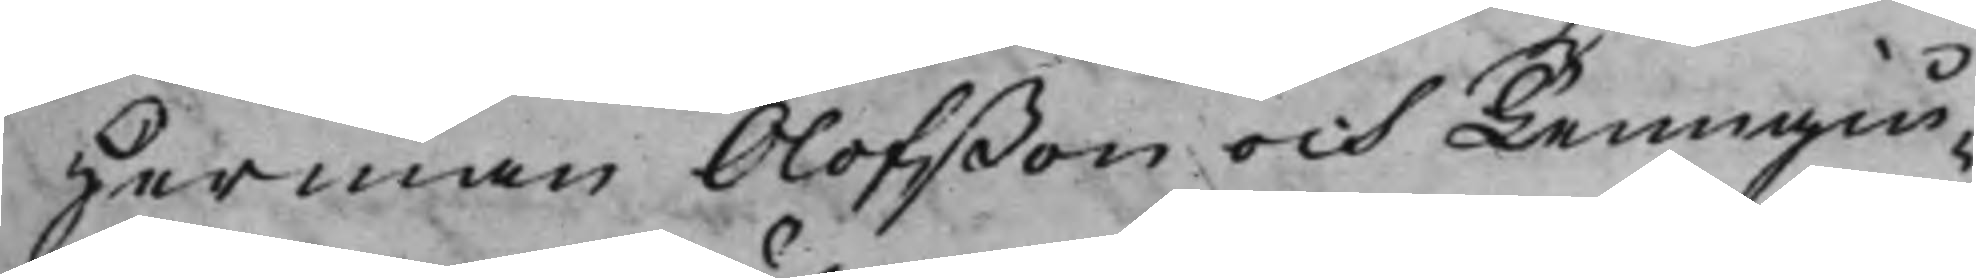Herman Olofßon och Tenngiu¬
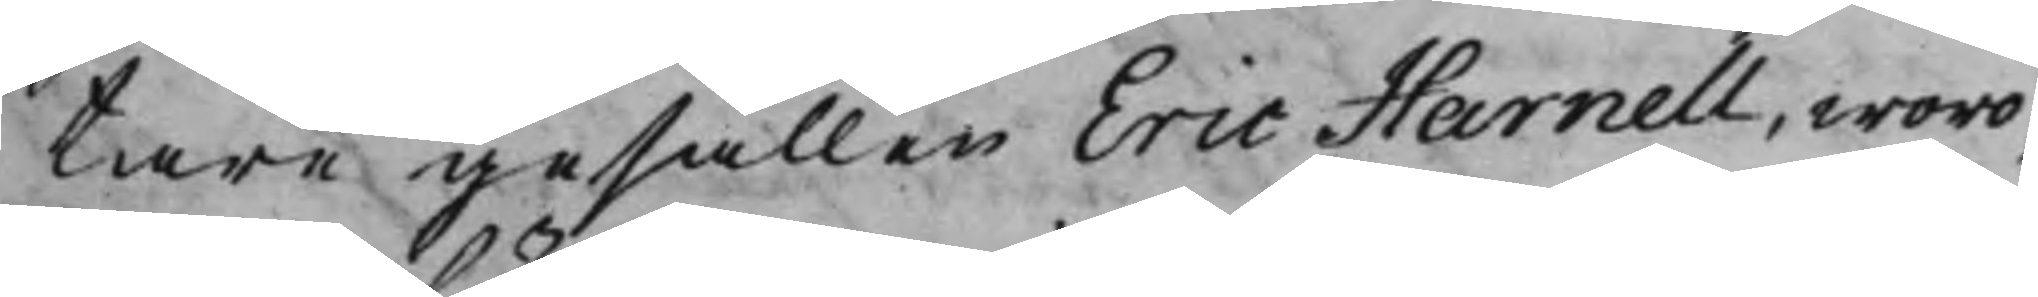tare gesällen Eric Harnell, woro,
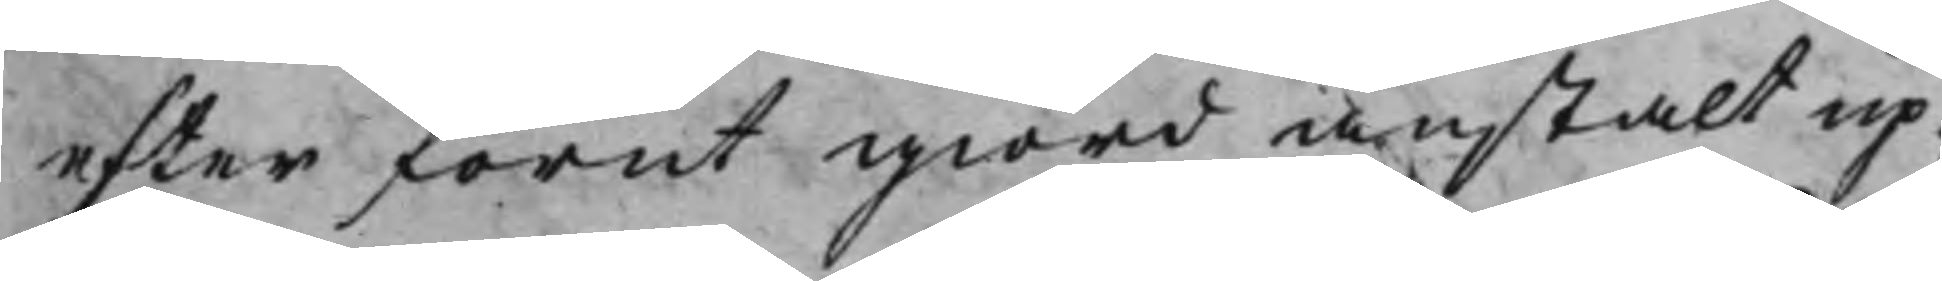efter förut giord anstalt up¬
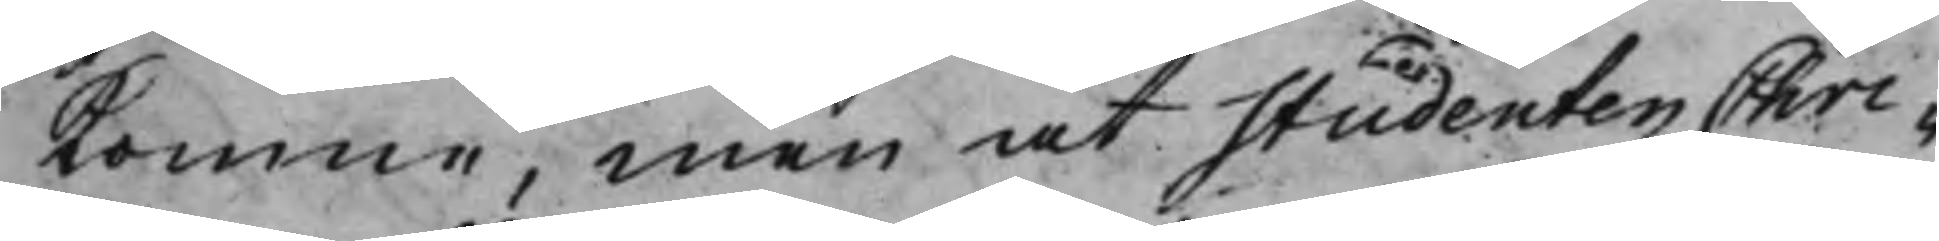komne, men at Studenten Chri¬
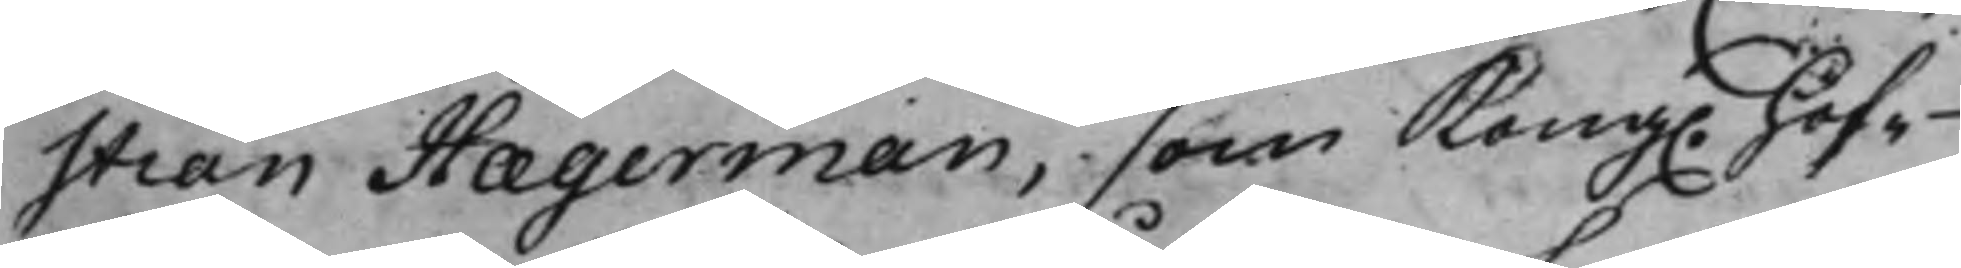stian Hægerman, som Kong. Hof¬
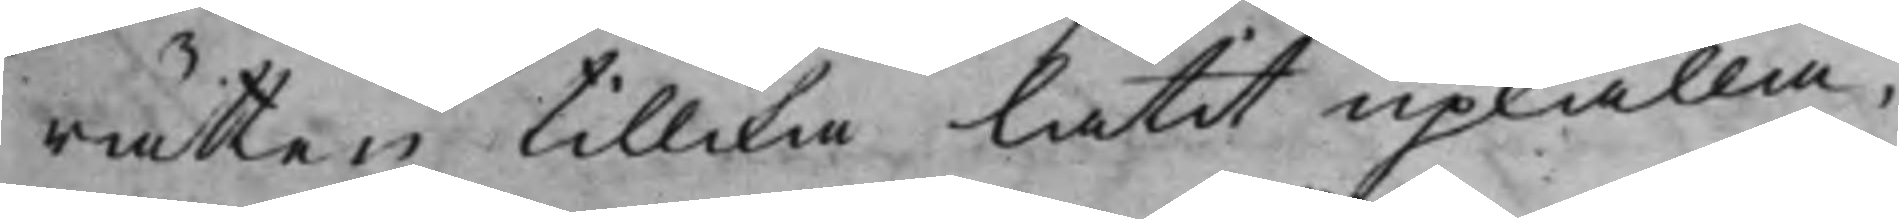rätten tillika låtit upkalla,
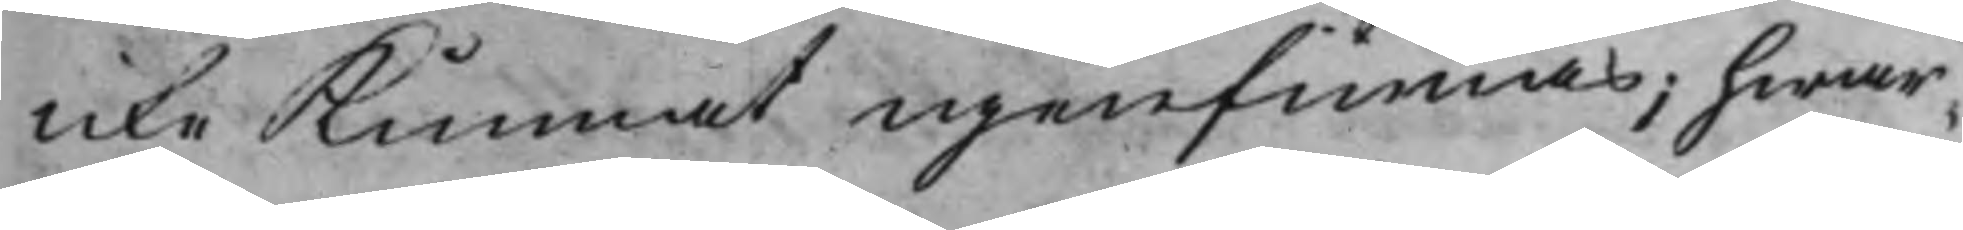icke Kunnat igenfinnas; hwar¬
